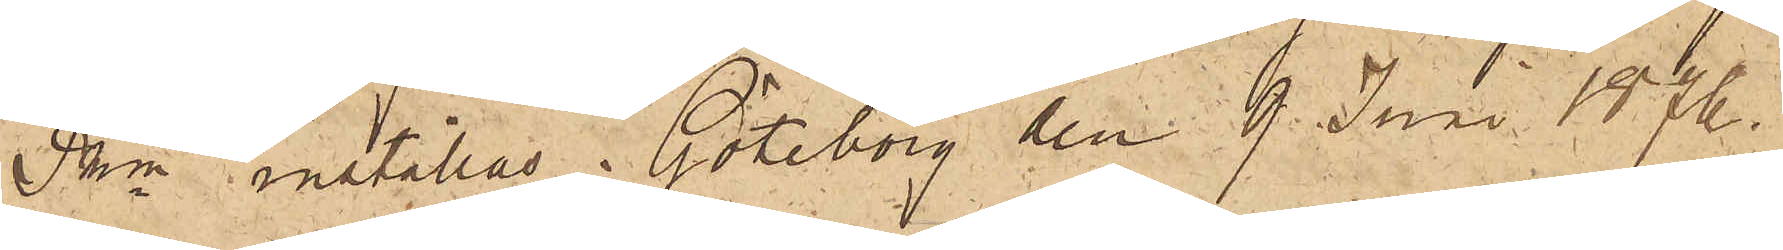Pkn inställas. Göteborg den 9 Juni 1876.
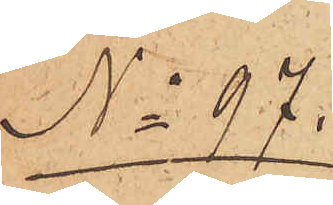No 97.
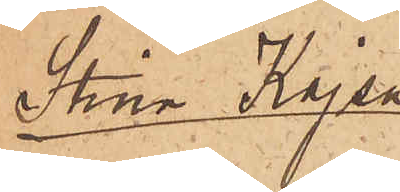Stina Kajsa
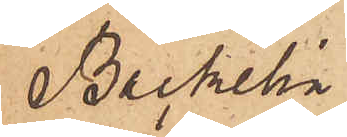Bäckelin
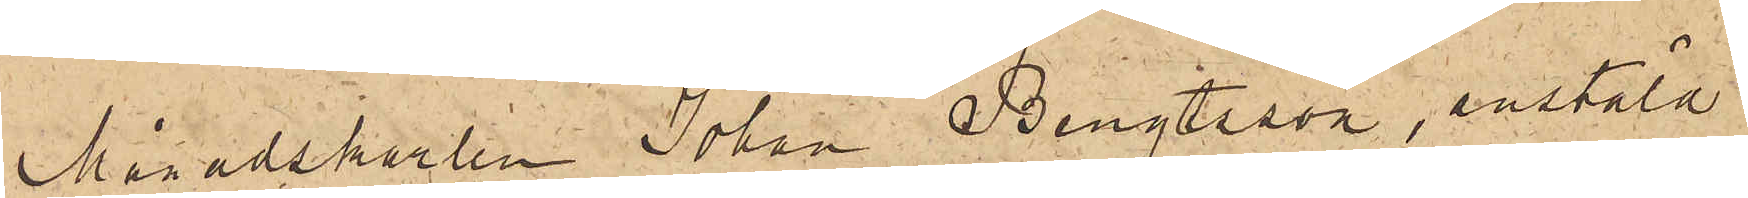Månadskarlen Johan Bengtsson, anstäld
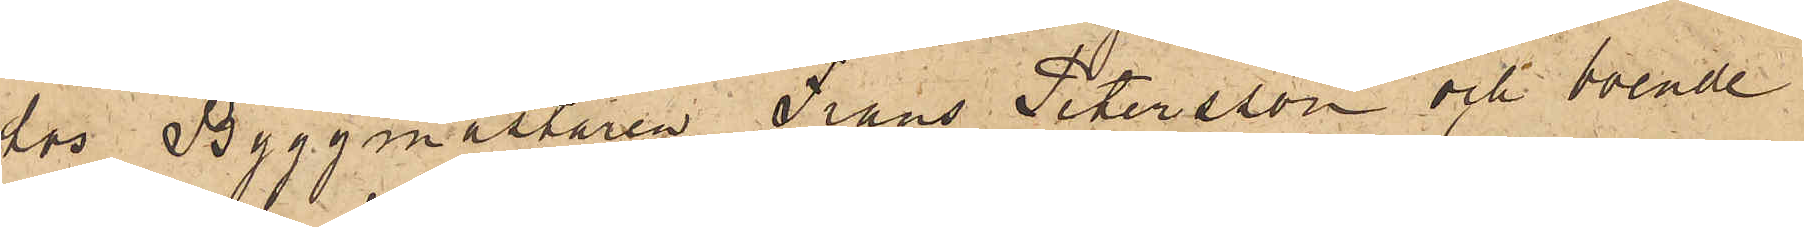hos Byggmästaren Frans Petersson och boende
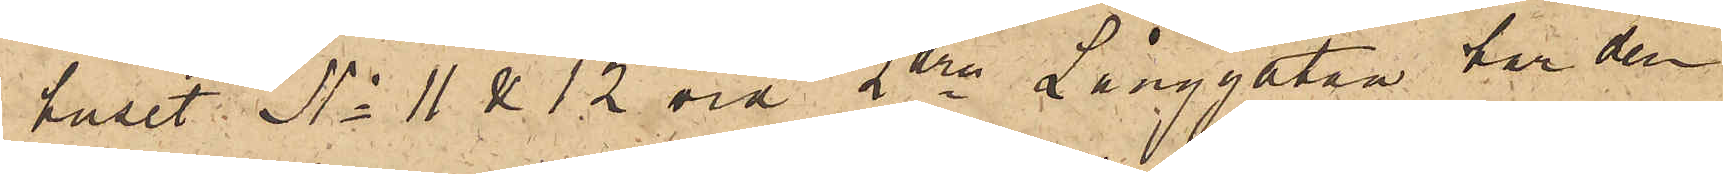i huset No 11 & 12 vid 2dra Långgatan har den
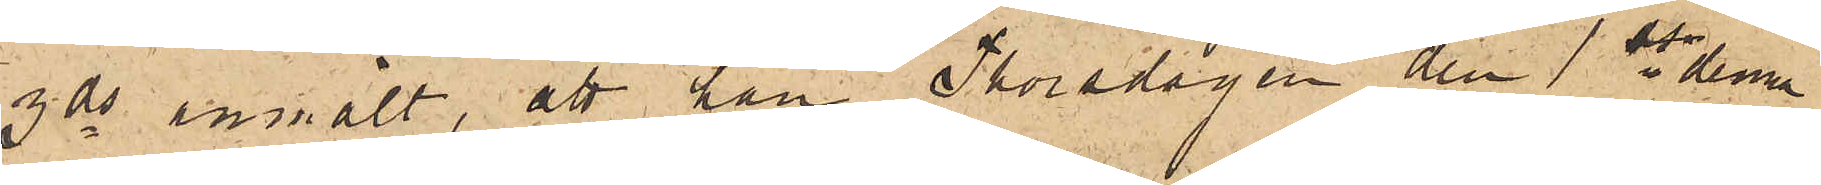3 ds anmält, att han Thorsdagen den 1ste denna
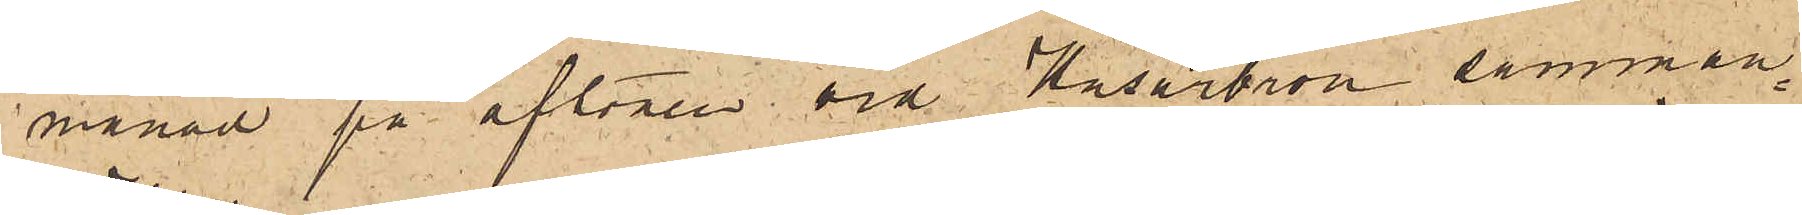månad på aftonen vid Husarbron samman¬
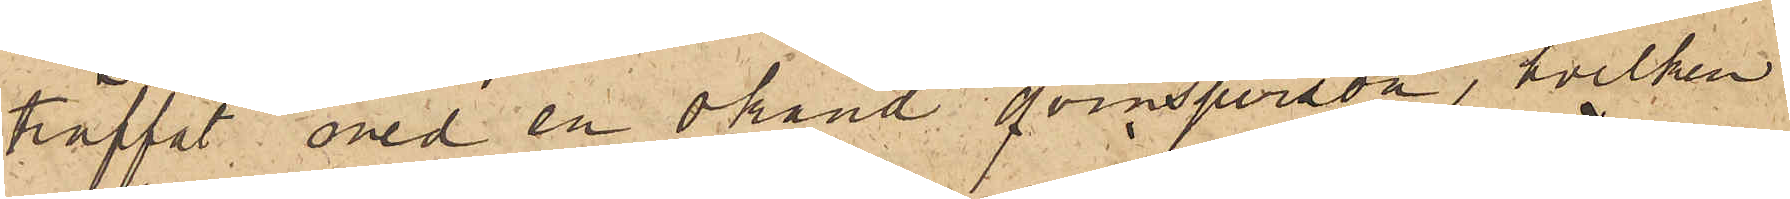träffat med en okänd qvinsperson, hvilken
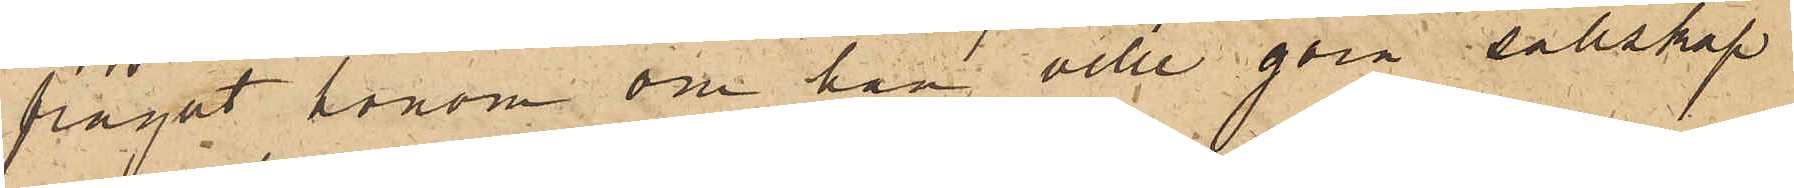frågat honom om han ville göra sällskap
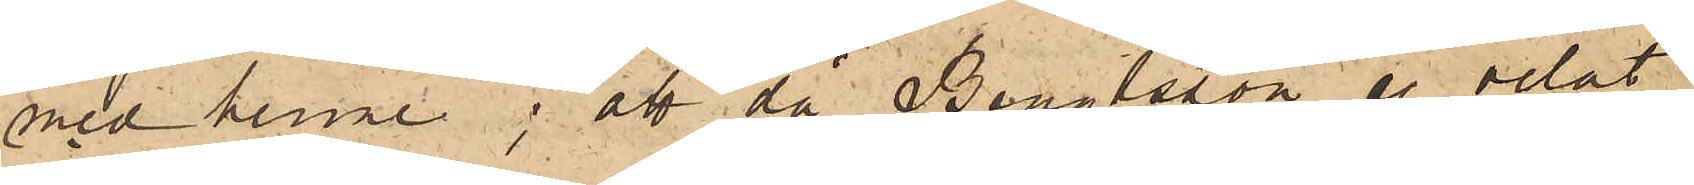med henne; att då Bengtsson ej velat
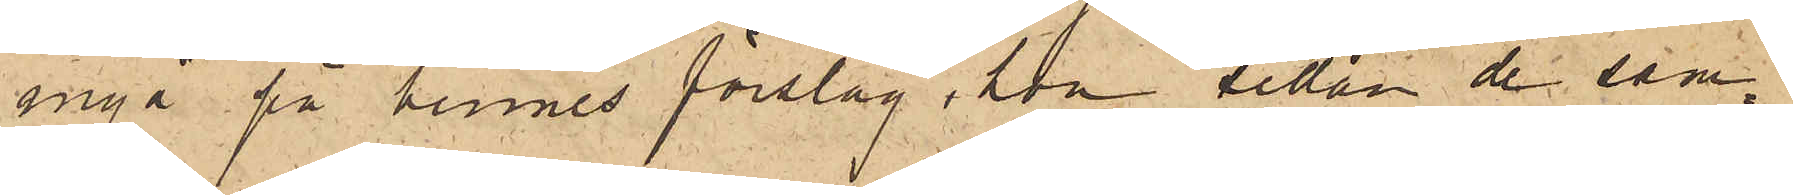ingå på hennes förslag, hon sedan de sam¬
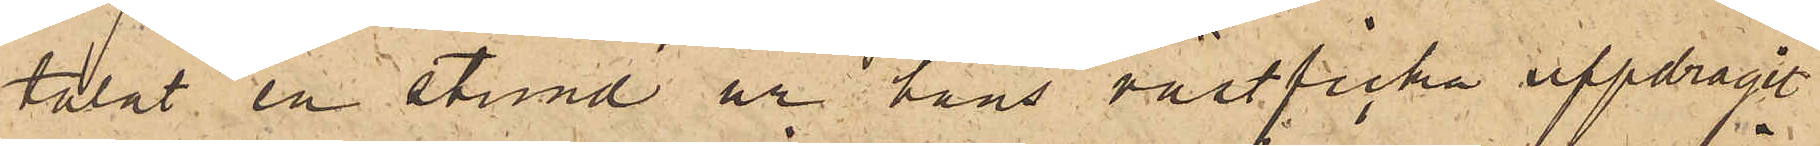talat en stund ur hans västficka uppdragit
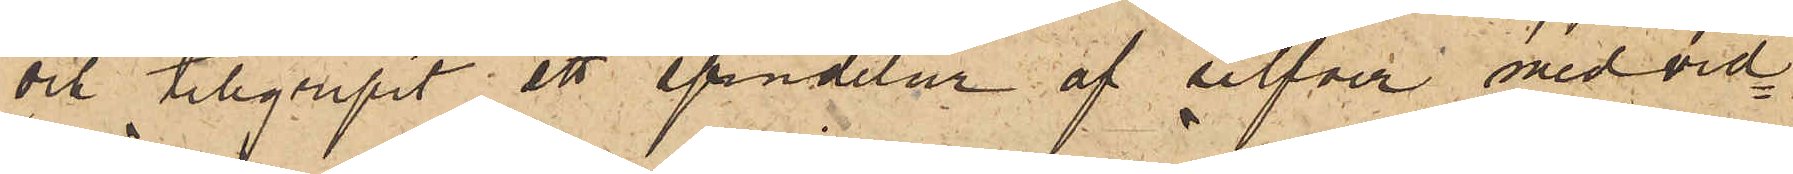och tillgripit ett spindelur af silfver med vid¬
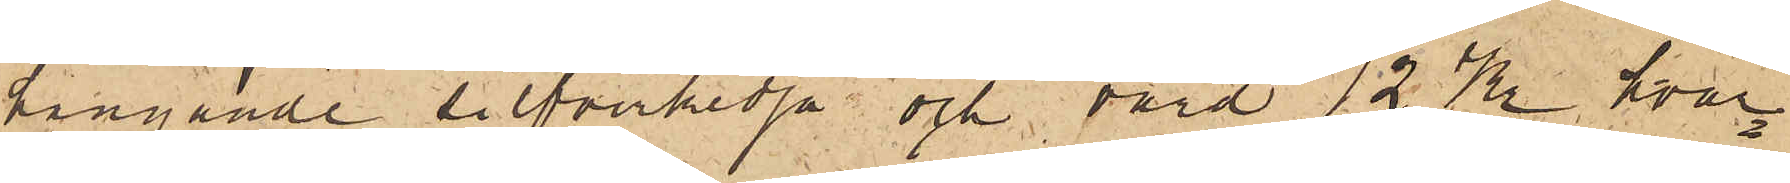hängande silfverkedja och värd 12 Kr hvar¬
